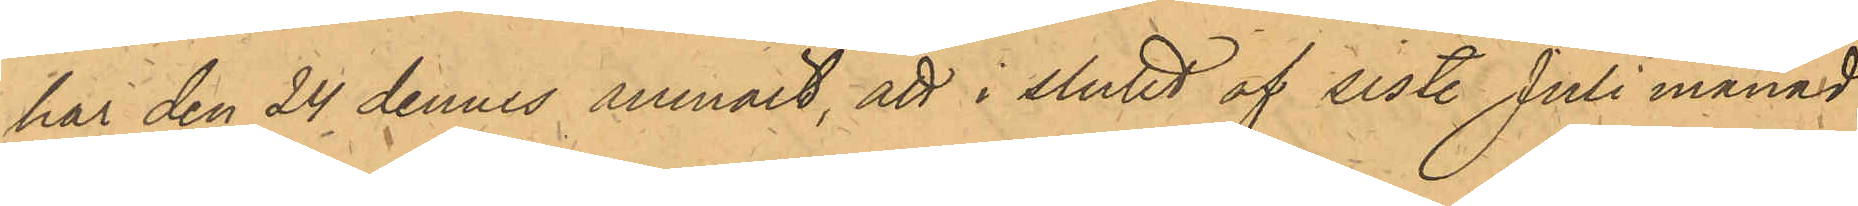har den 24 dennes anmält, att i slutet af sist. Juli månad
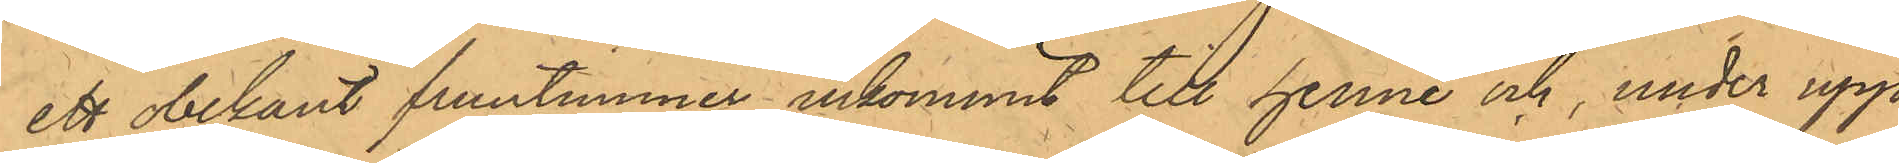ett obekant fruntimmer inkommit till henne och, under upp¬
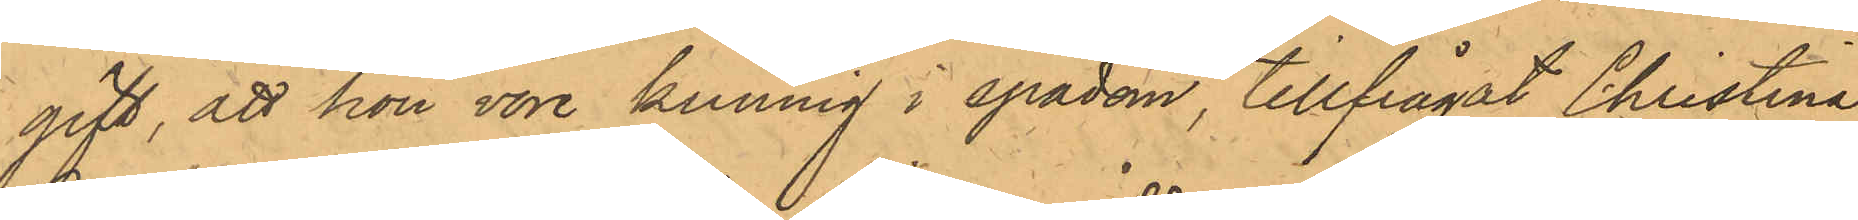gift, att hon vore kunnig i spådom, tillfrågat Christina
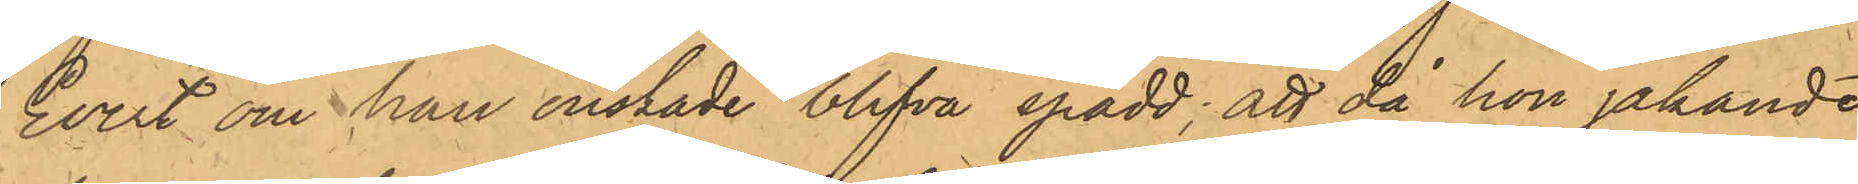Evert om han önskade blifva spådd; att då hon jakande
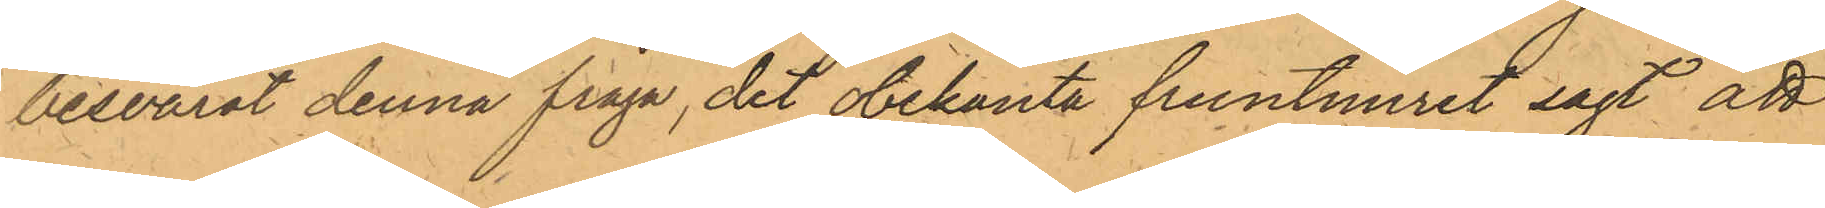besvarat denna fråga det obekanta fruntimret sagt att
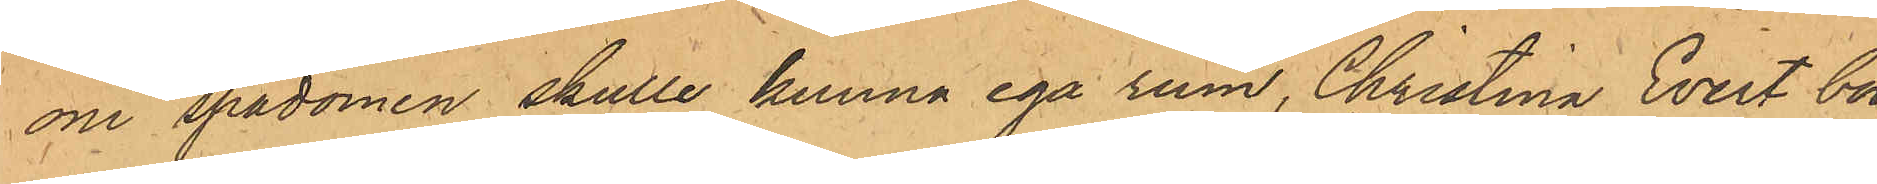om spådomen skulle kunna ega rum, Christina Evert bor¬
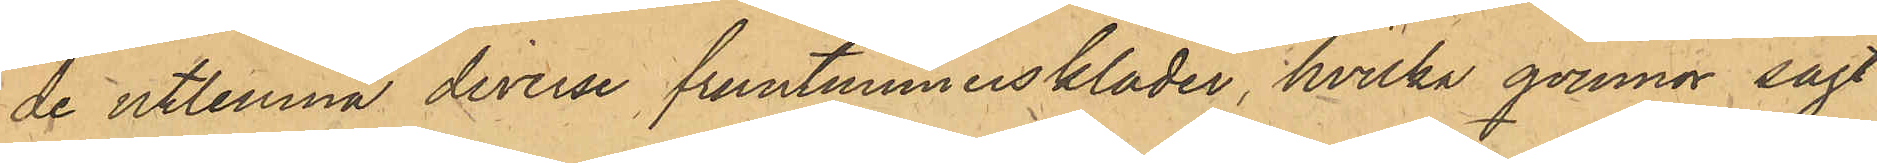de utlemna diverse fruntimmerskläder, hvilka qvinnor sagt
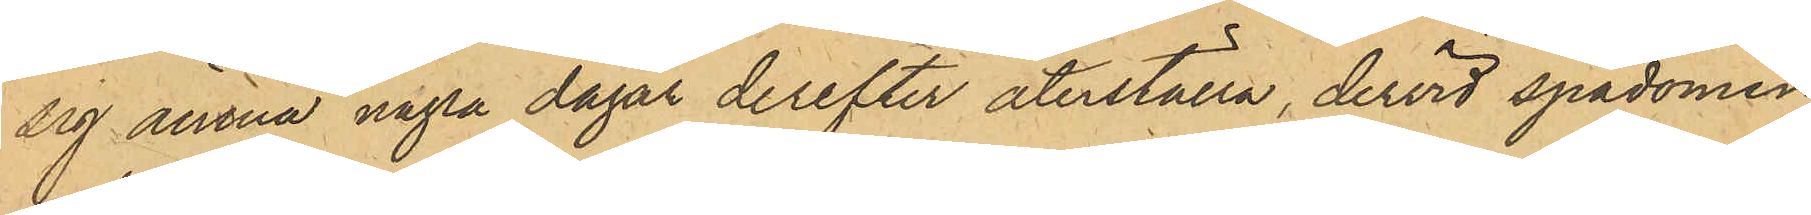sig ämna några dagar derefter återställa, dervid spådomen
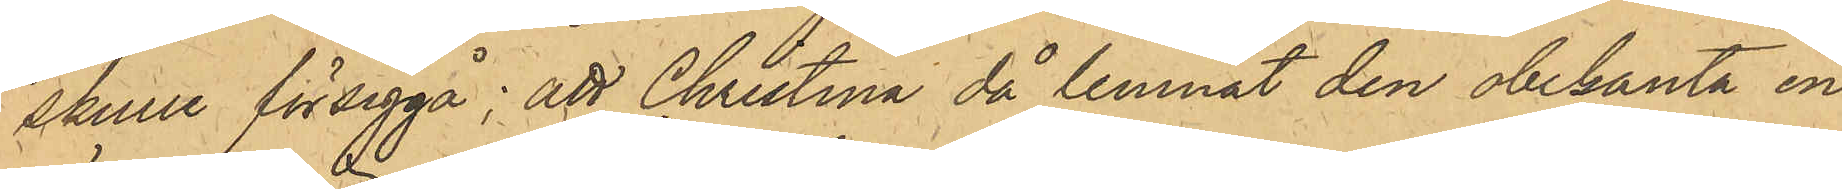skulle försiggå; att Christina då lemnat den obekanta en
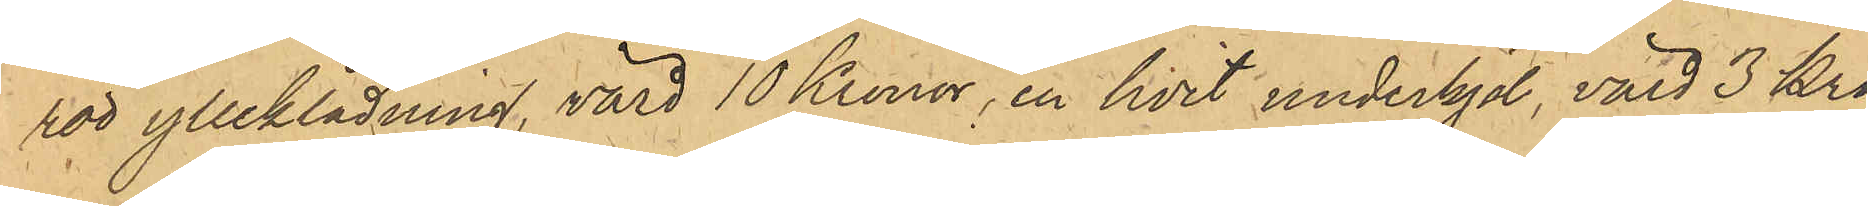röd ylleklädning, värd 10 Kronor, en hvit underkjol, värd 3 Kro¬
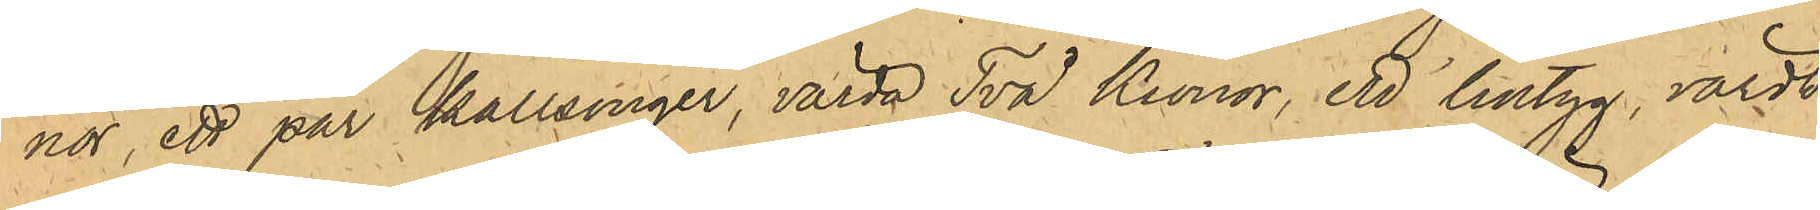nor, ett par kallsonger, värda Två Kronor, ett lintyg, värdt
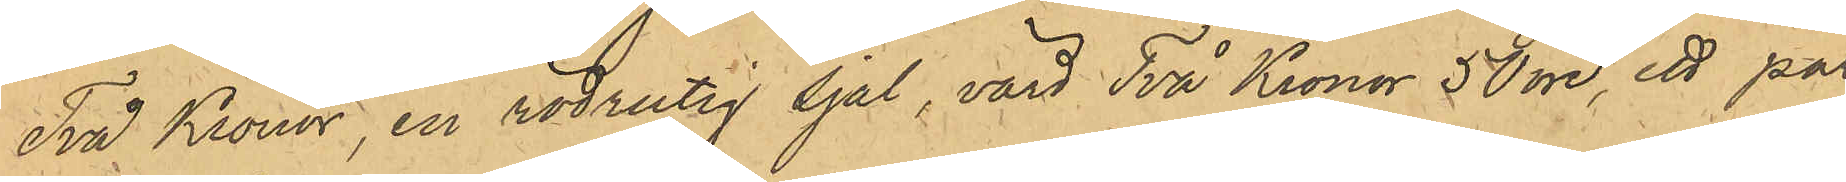Två Kronor, en rödrutig sjal, värd Två Kronor 50 öre, ett par
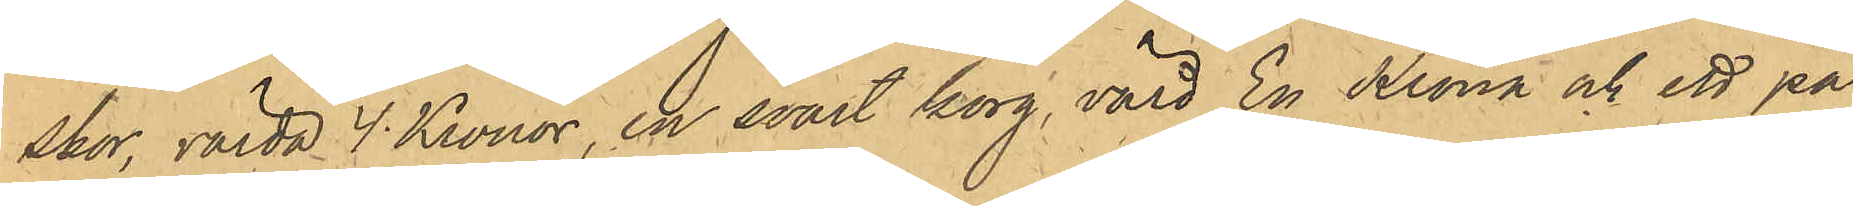skor, värda 4 Kronor, en svart korg, värd En Krona och ett par
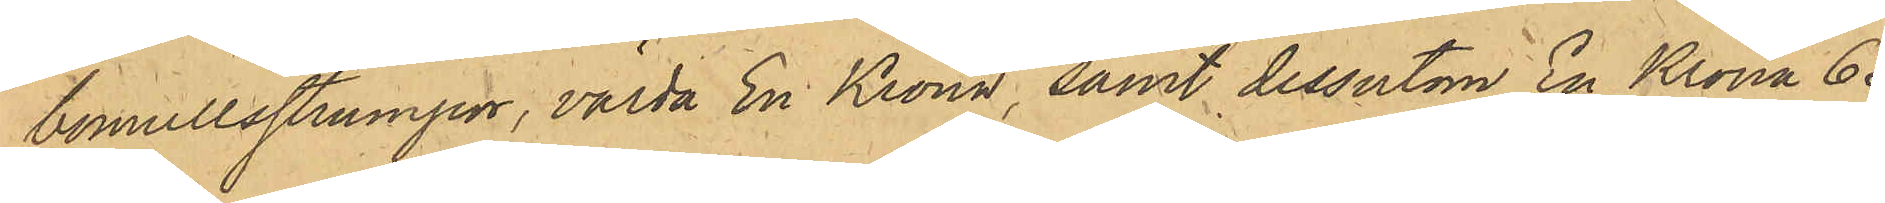bomullsstrumpor, värda En Krona, samt dessutom En Krona 65
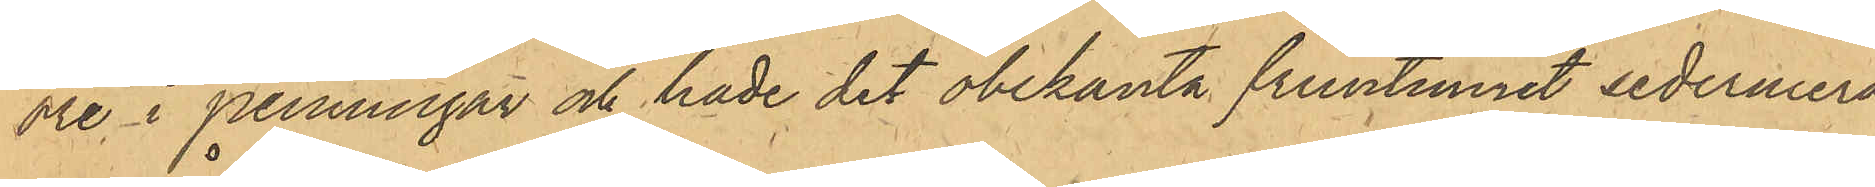öre i penningar och hade det obekanta fruntimret sedermera
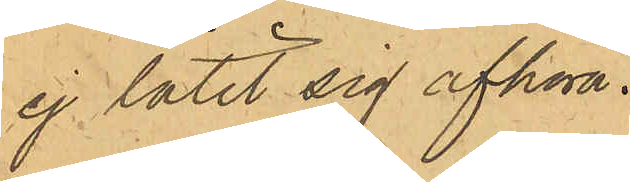ej låtit sig afhöra.
